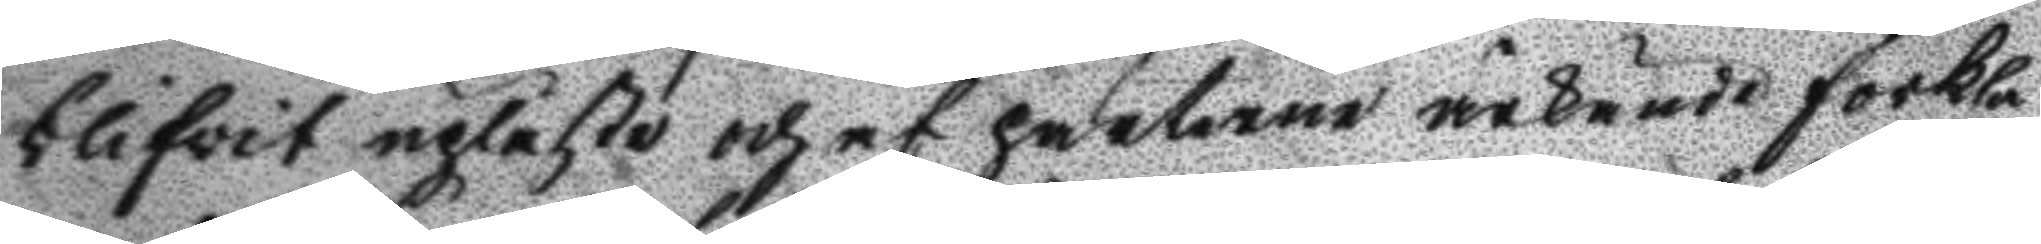blifwit upläste och af parterne ärkände förkla¬
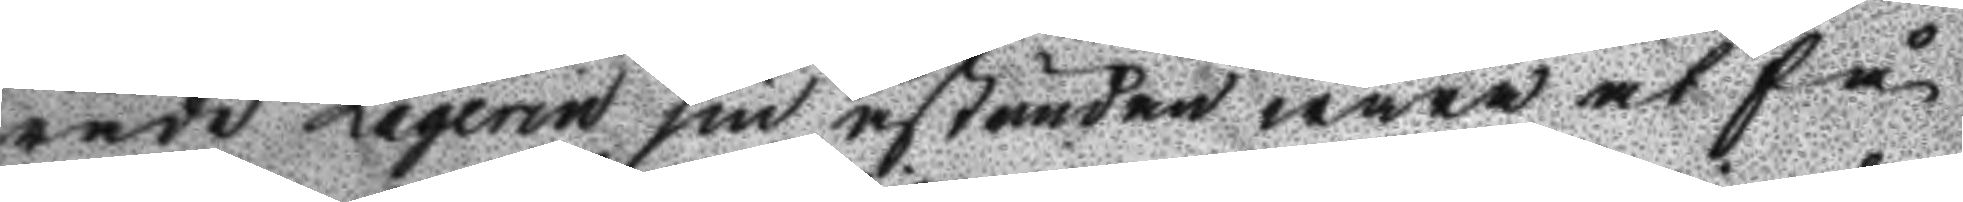rade Laqerin sin åstundan wara at få
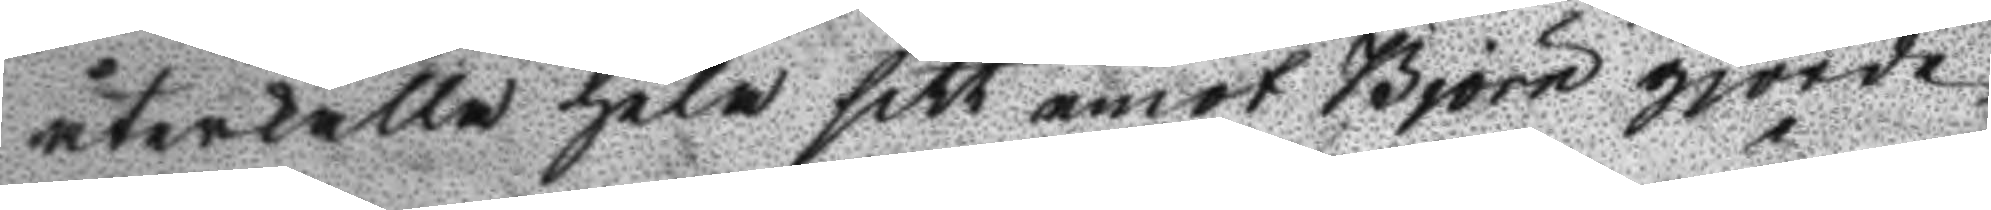återkalla jela sitt emot Björn gjorde
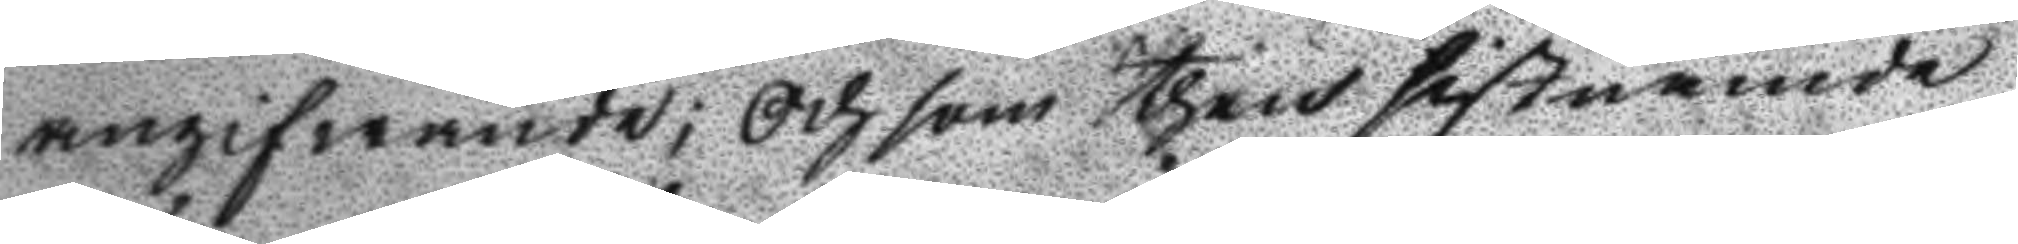angifwande; Och som then sistnämde
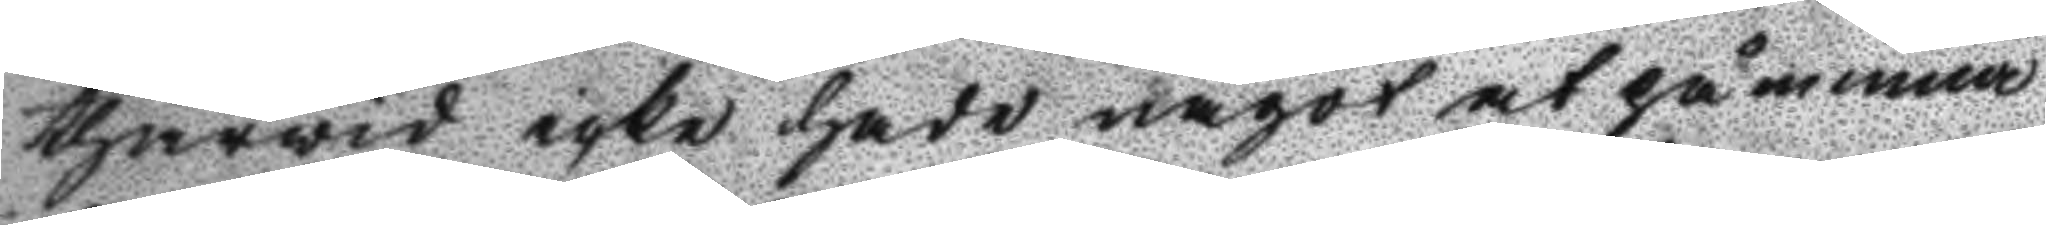thärvid icke hade något at påminna
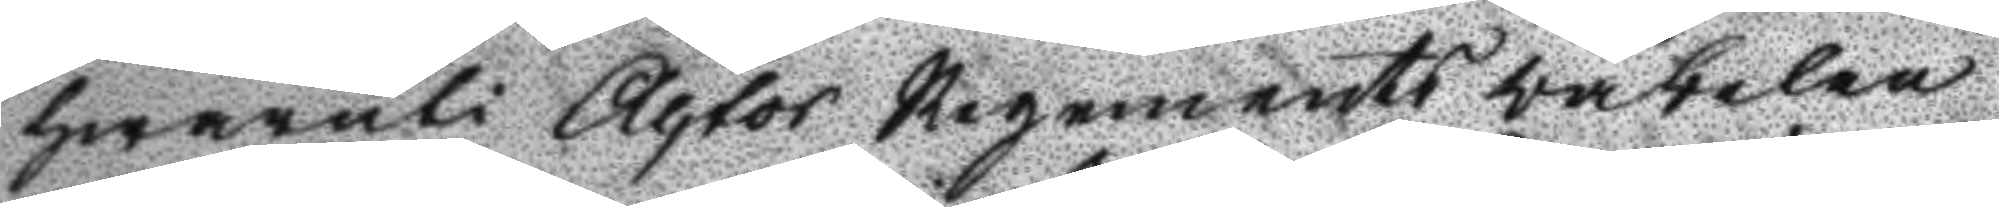hwaruti Actor Regements väbelen
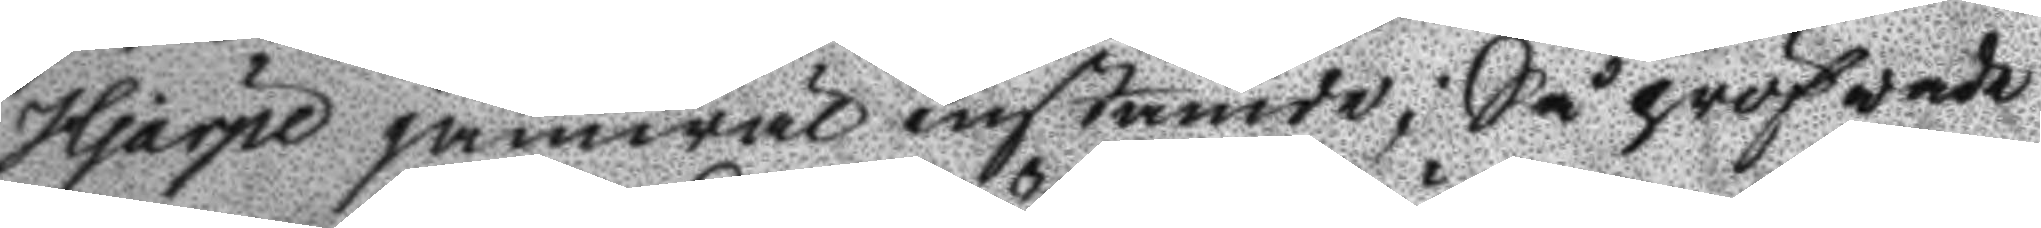Hjärpe jämwäl instämde; Så pröfvade
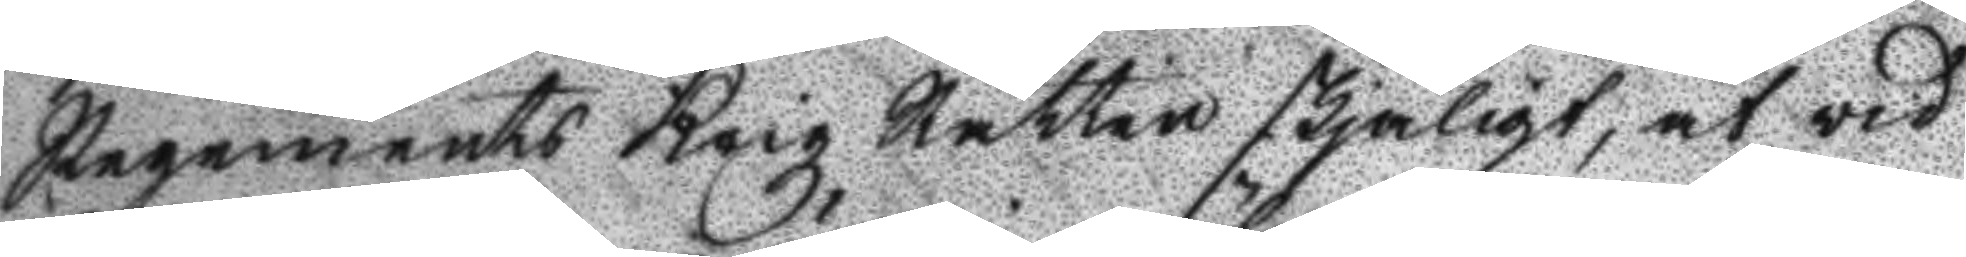regements Krigz Rätten skjäligt, at vid
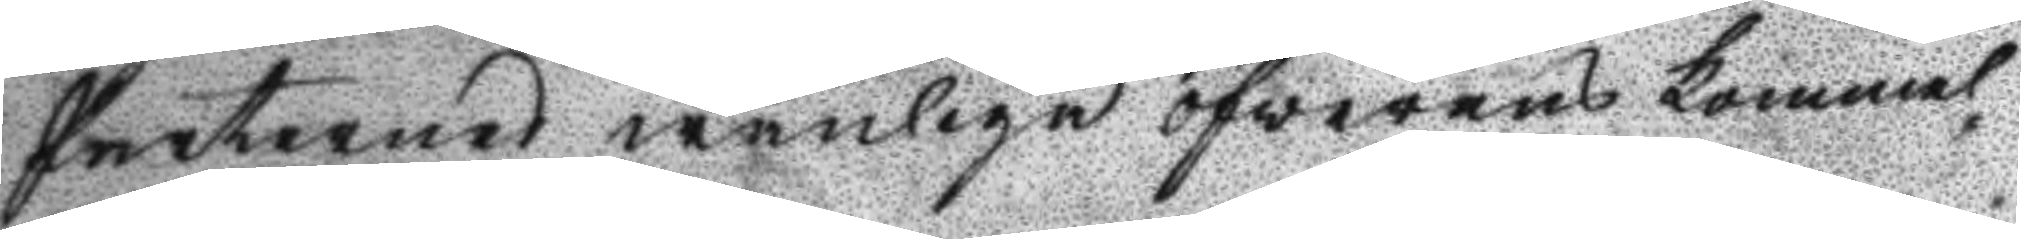Parternes wänlige öfwerens kommel¬
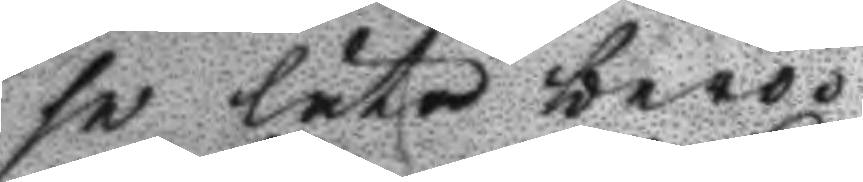se låta bero.
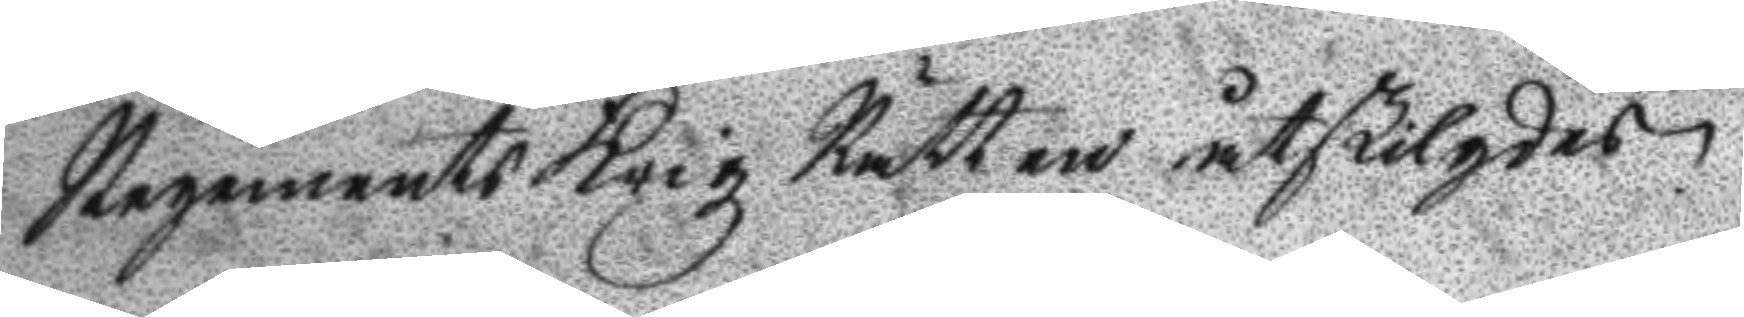Regements Krigz Rätten åtskilgdes.
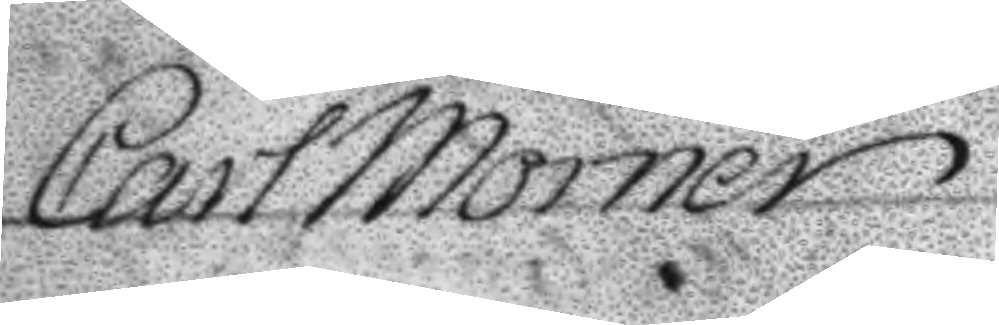Carl Mörner
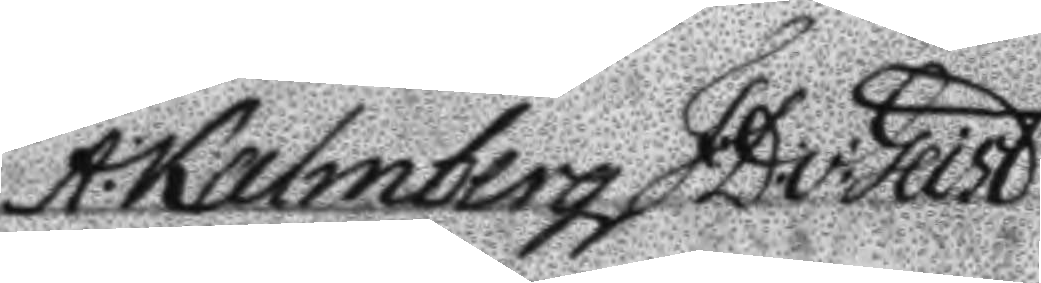A: Kalmberg F:D:v:Giert
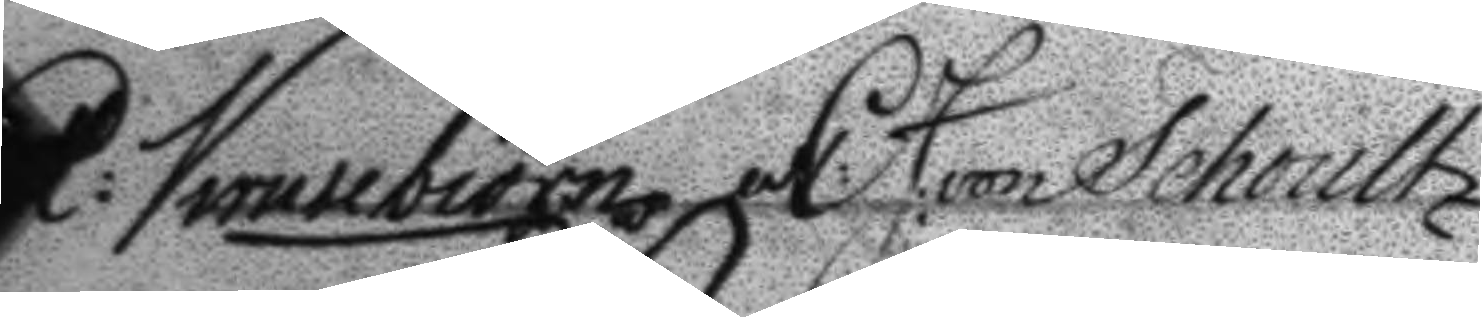R: Krusebiörn C: J: von Schoultz
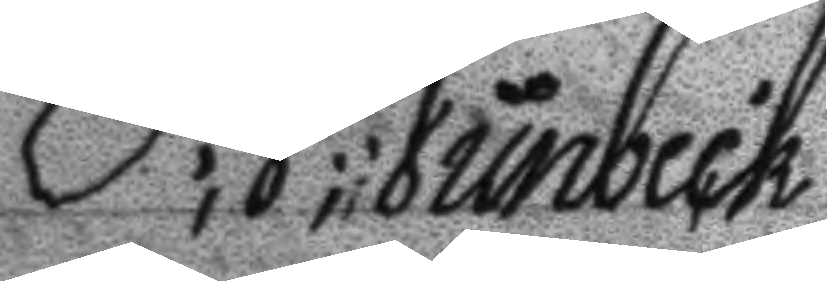P; J; Junbeck
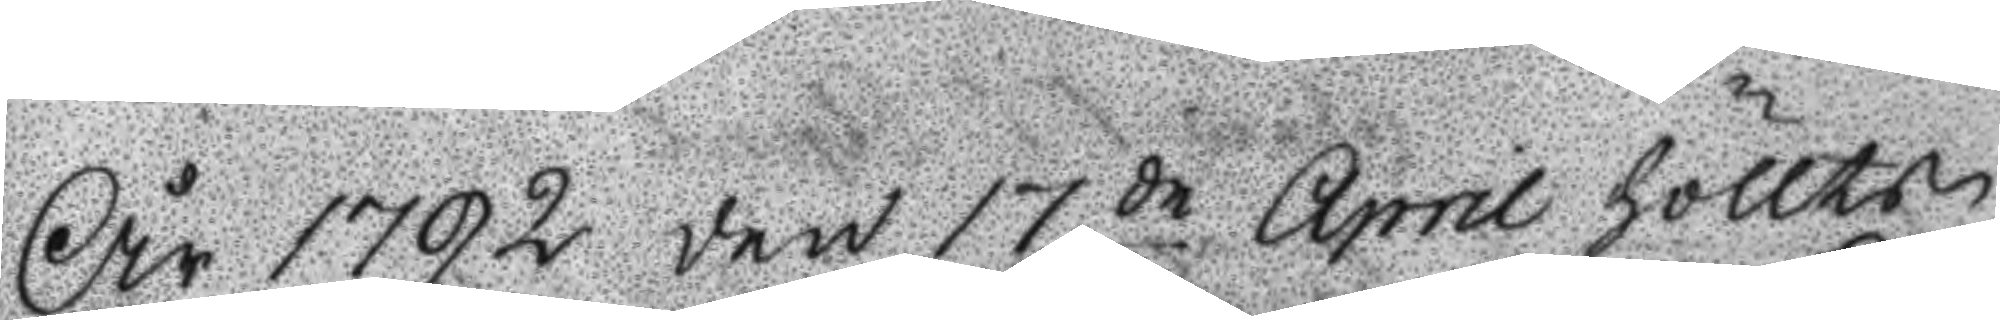År 1792 den 17de April hölltz
